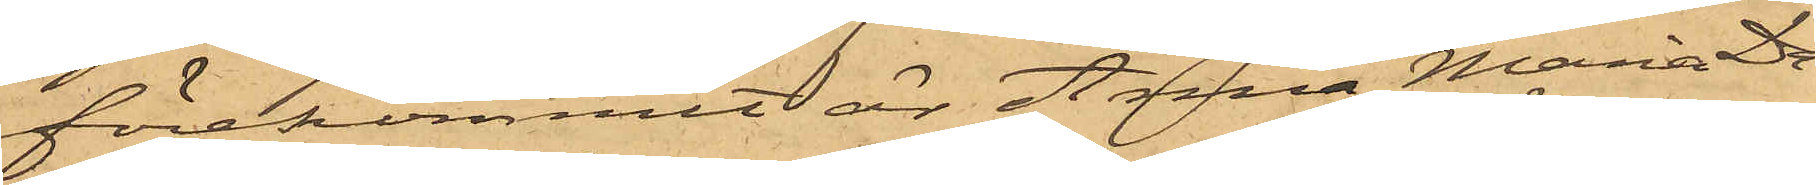förekommit är Anna Maria Da¬
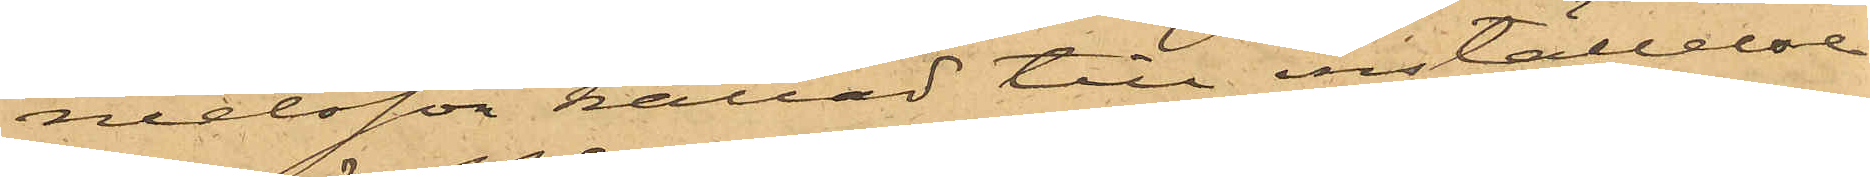nielsson kallad till inställelse
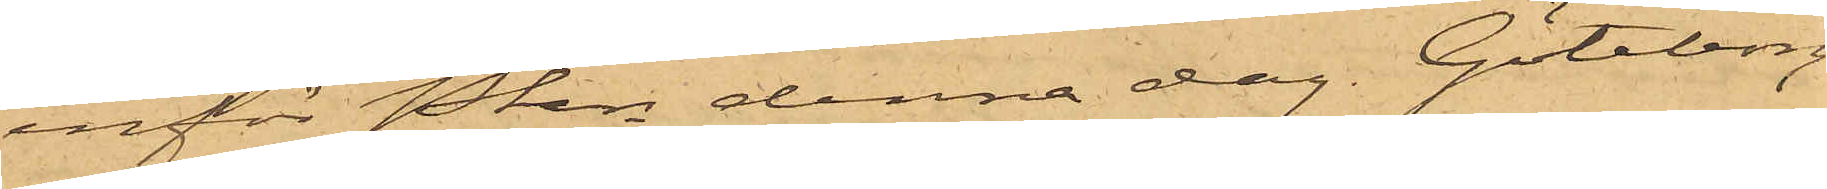inför Pkn denna dag. Göteborg
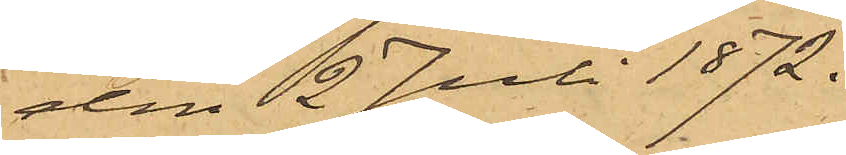den 2 Juli 1872.
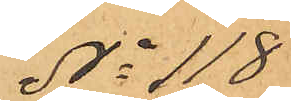No 118
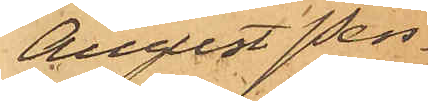August Pers¬
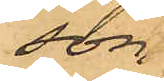son.
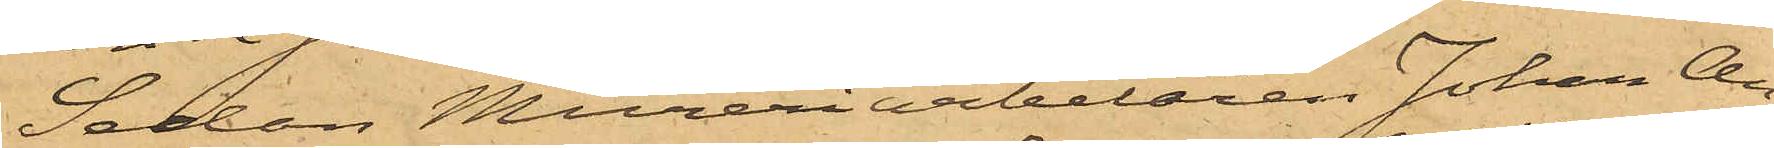Sedan Mureriarbetaren Johan An¬
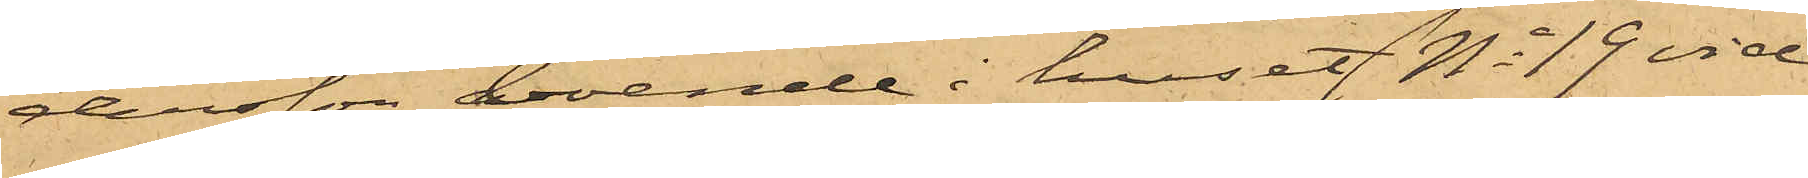dersson, boende i huset No 19 vid
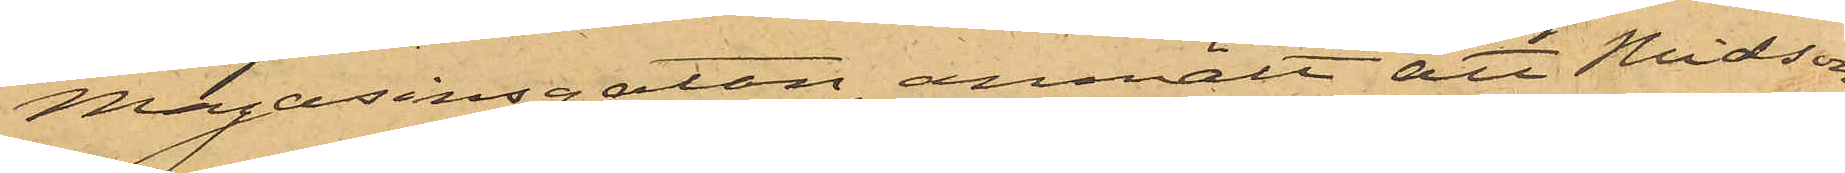Magasinsgatan, anmält att Midsom¬
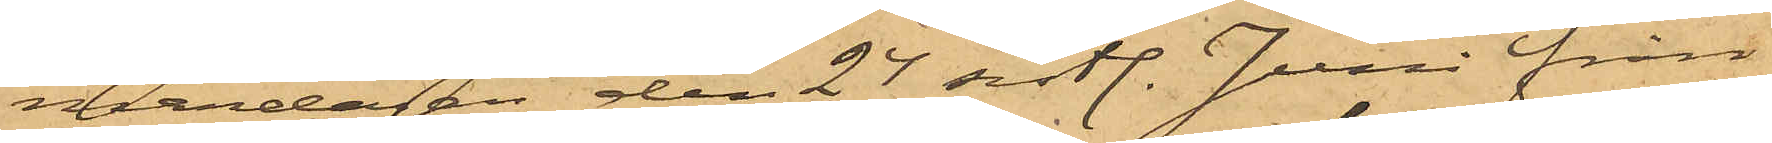mardagen den 24 sistl. Juni från
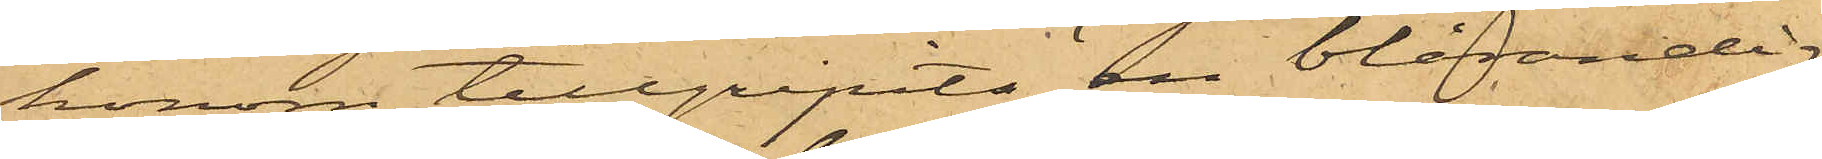honom tillgripits en blårandig
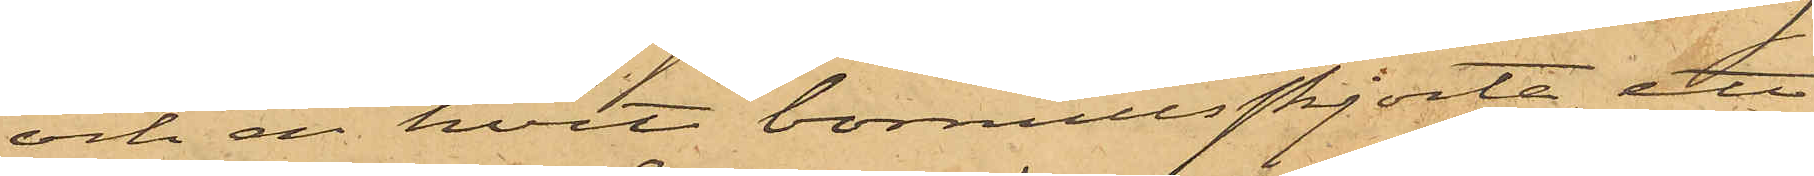och en hvit bomullsskjorta, ett
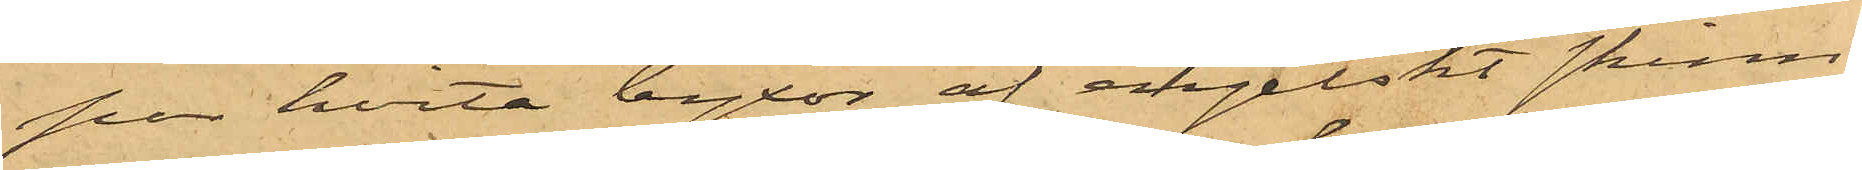par hvita byxor af engelskt skinn,
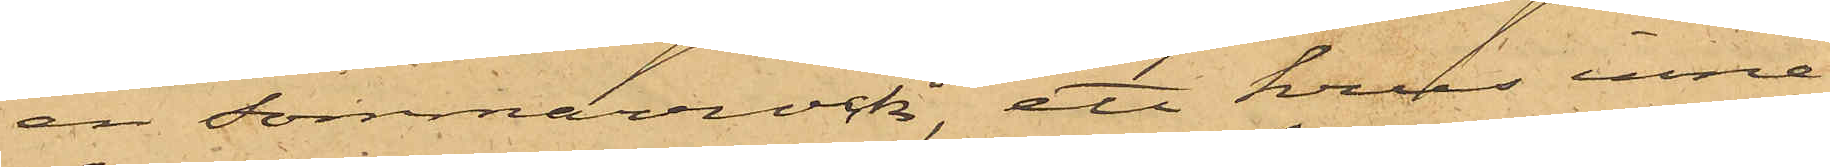en sommarrock, ett krus inne¬
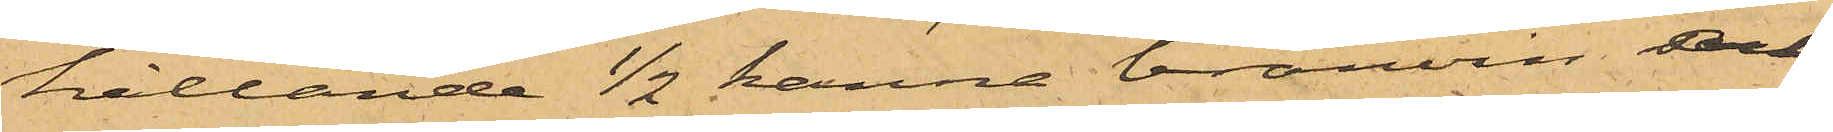hållande 1/2 kanna bränvin och
